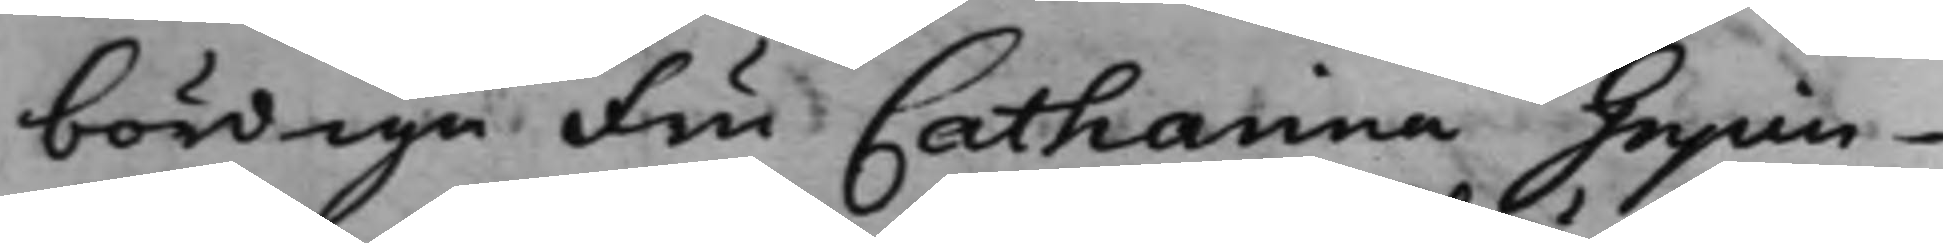bördiga Fru Catharina Gripen¬
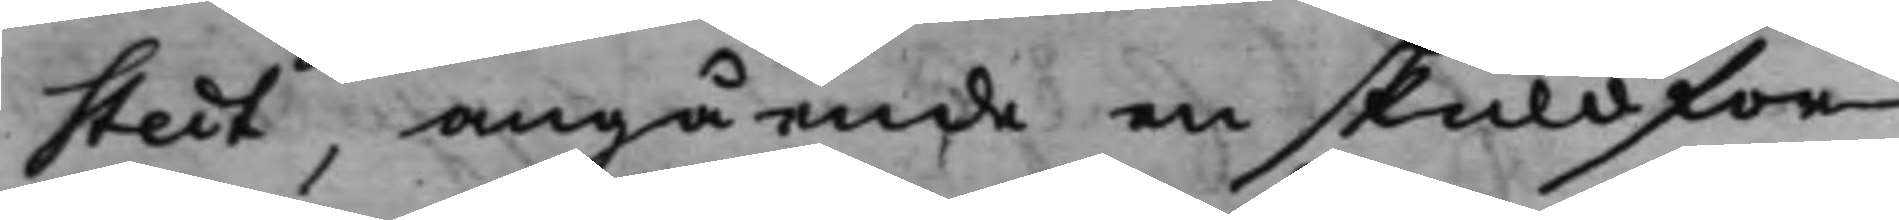stedt, angående en skuldfor¬
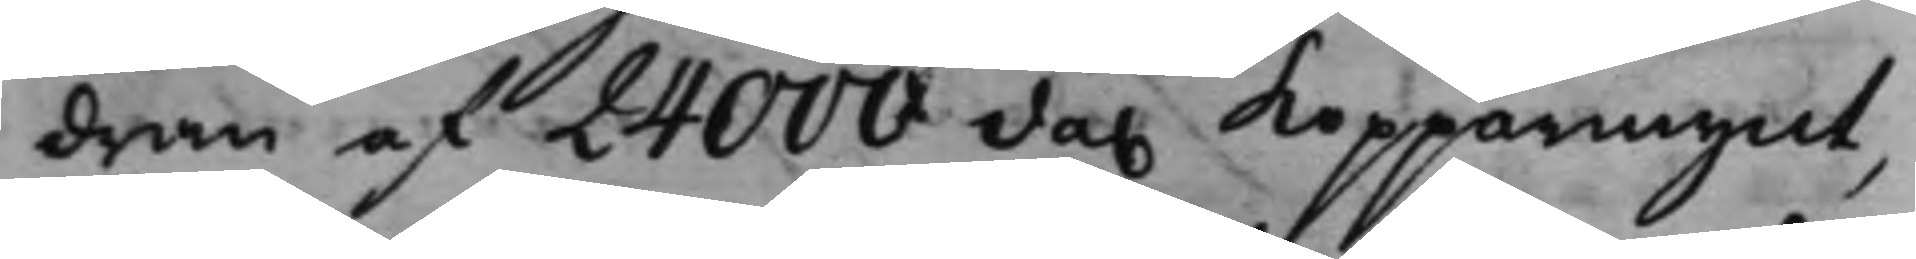dran af 24000 da. kopparmynt, 
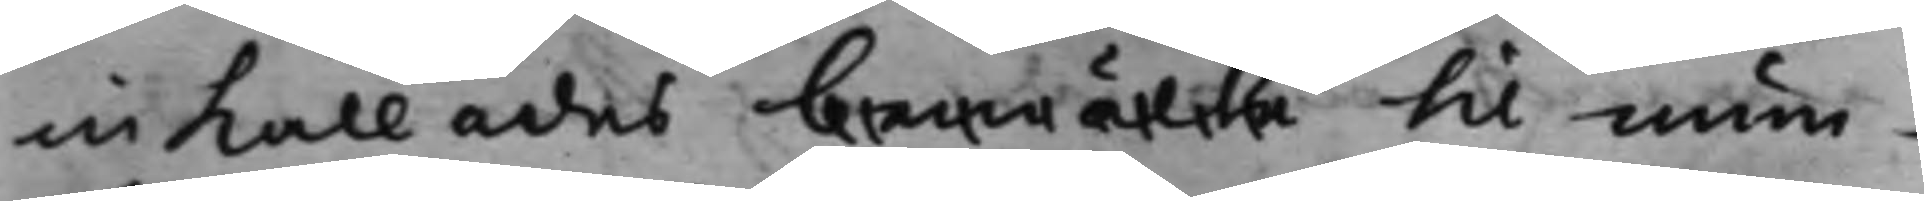inkallades bemälte til mun¬
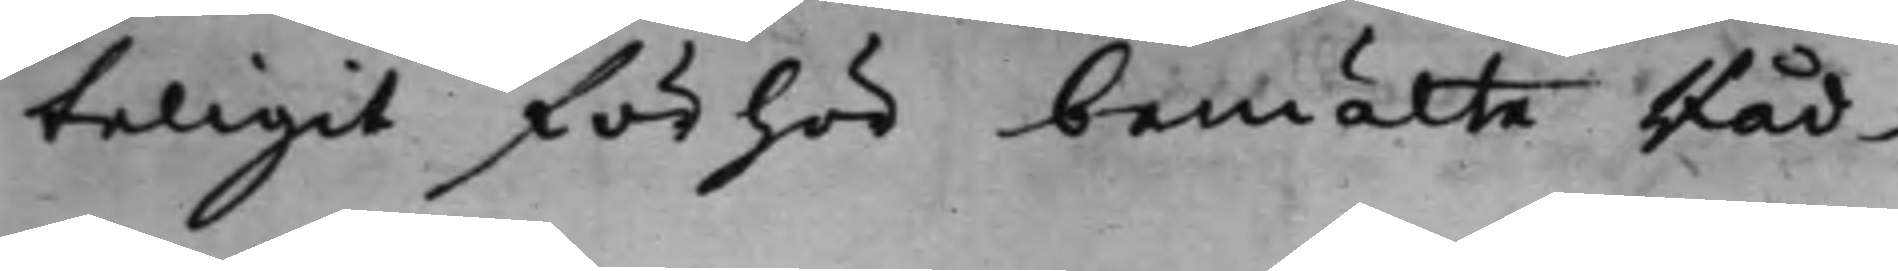teligit förhör bemälte Råd¬
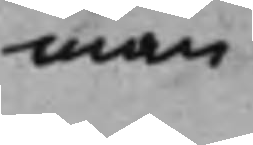man
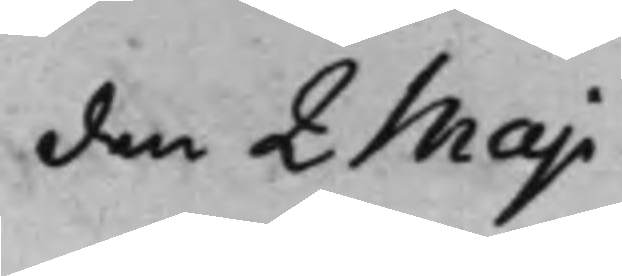den 2 Maji
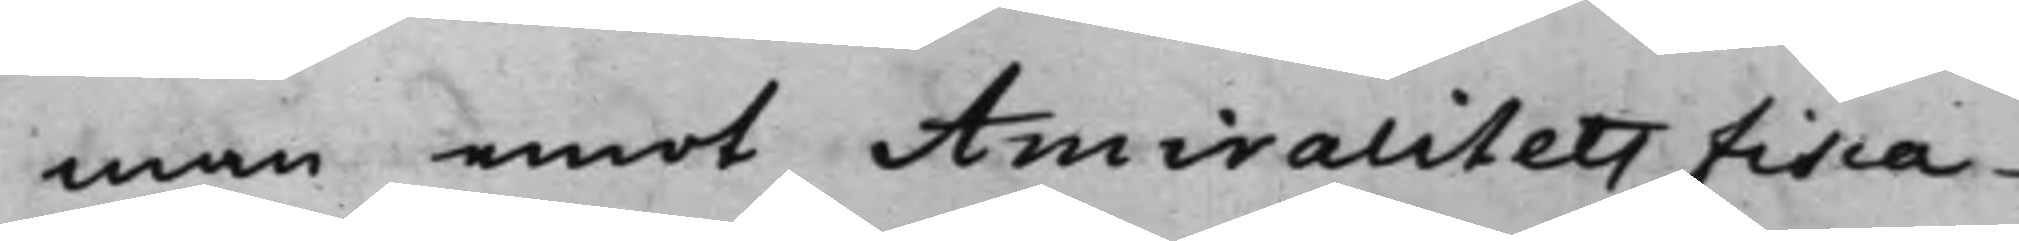man emot Amiralitets Fisca¬
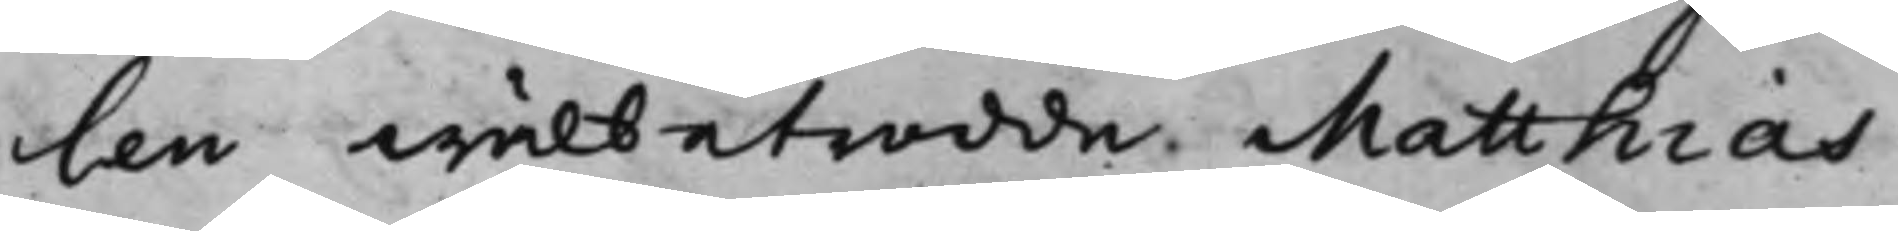len wälbetrodde Matthias
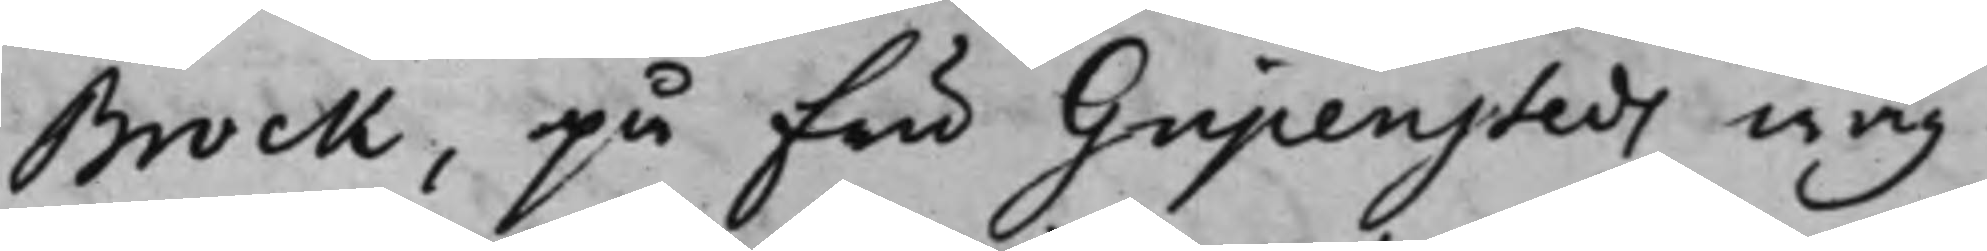Brock, på Fru Gripensteds wäg¬
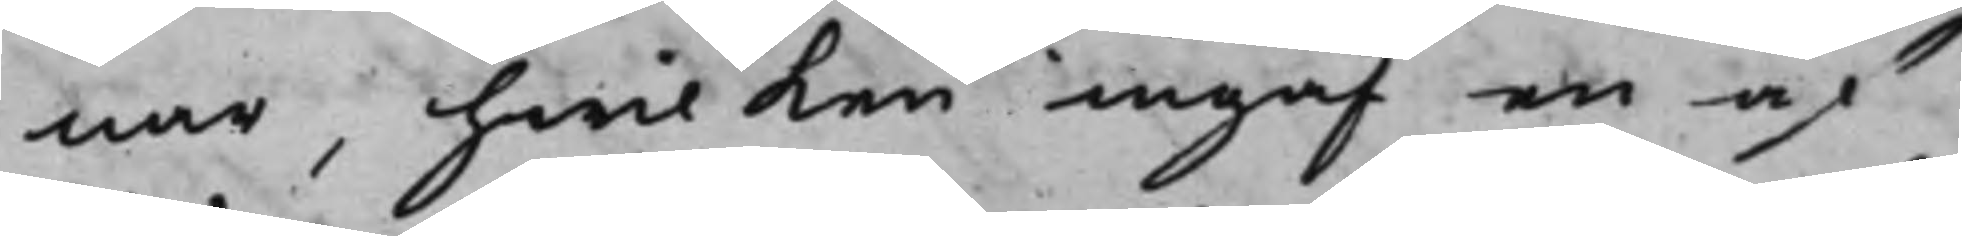nar, hwilken ingaf en af
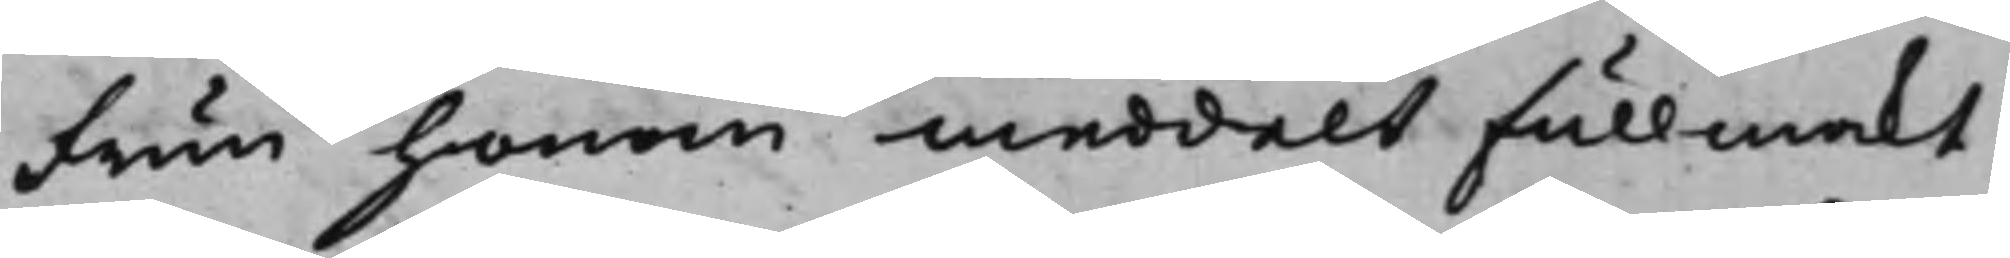Frun honom meddelt Fullmakt
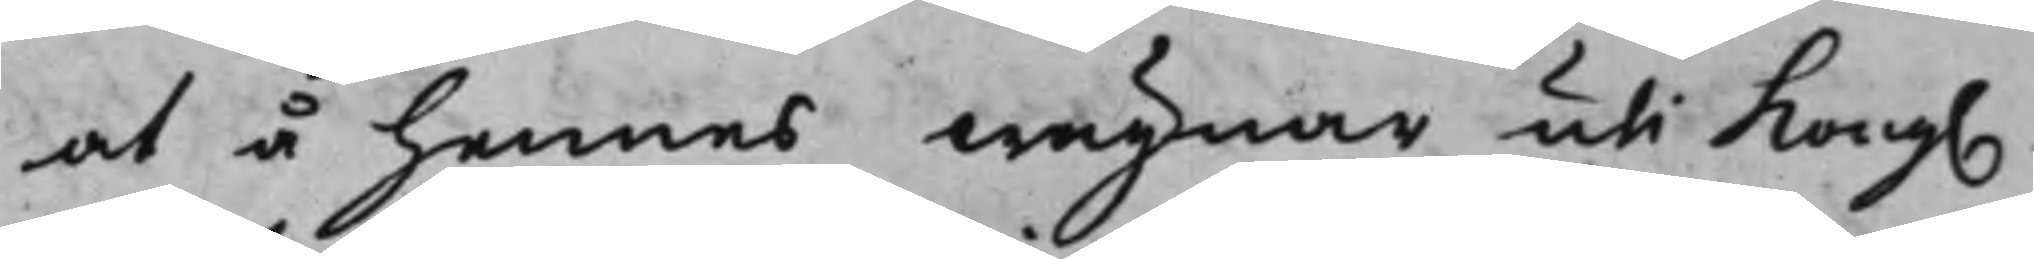at å hennes wägnar uti Kong. 
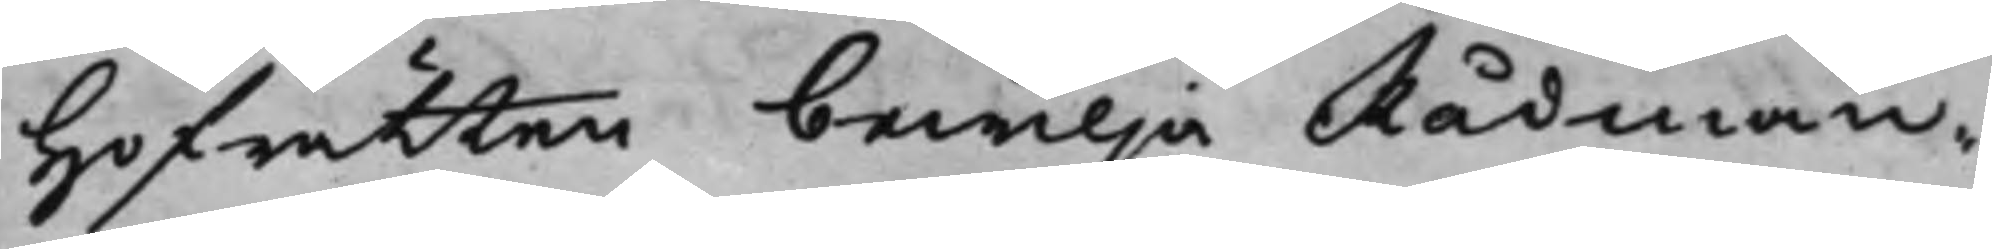Hofrätten bewilja Rådman¬
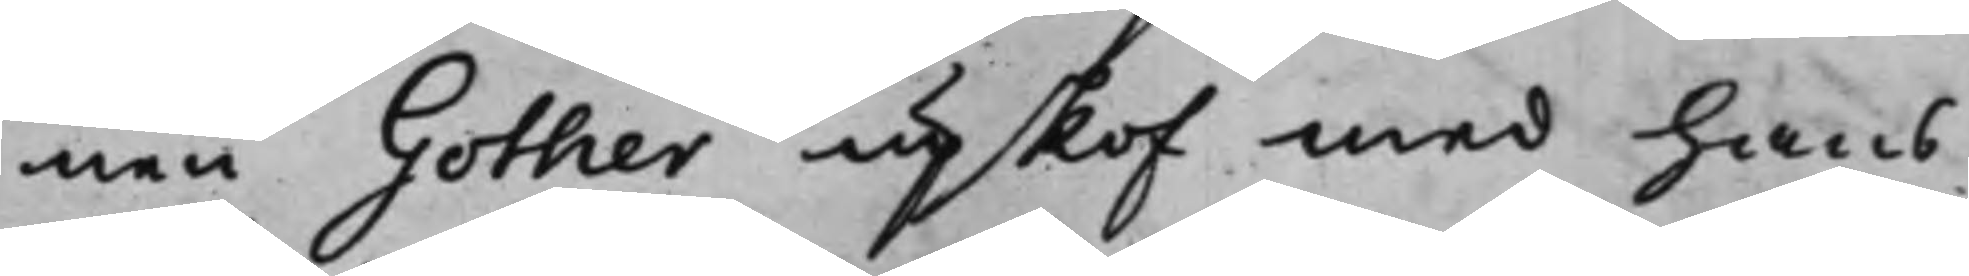nen Gother upskof med hans
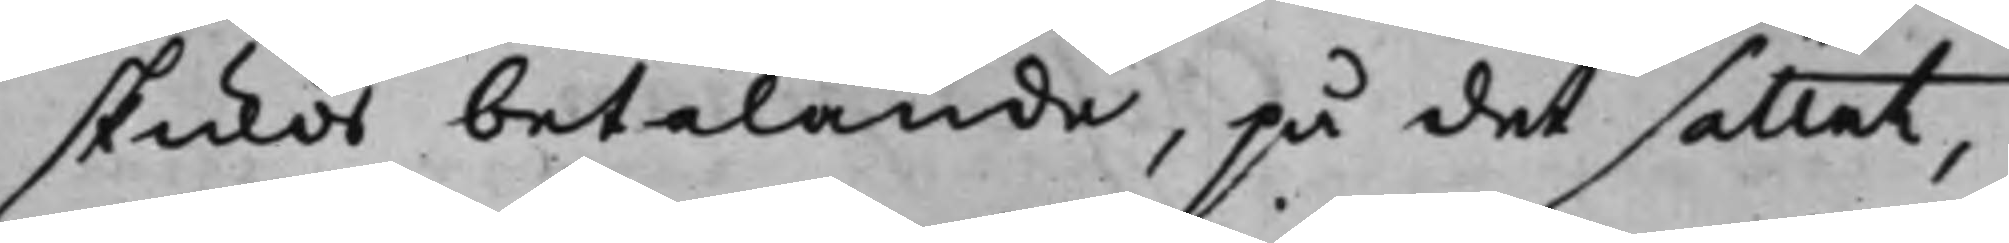skulds betalande, på det sättet,
